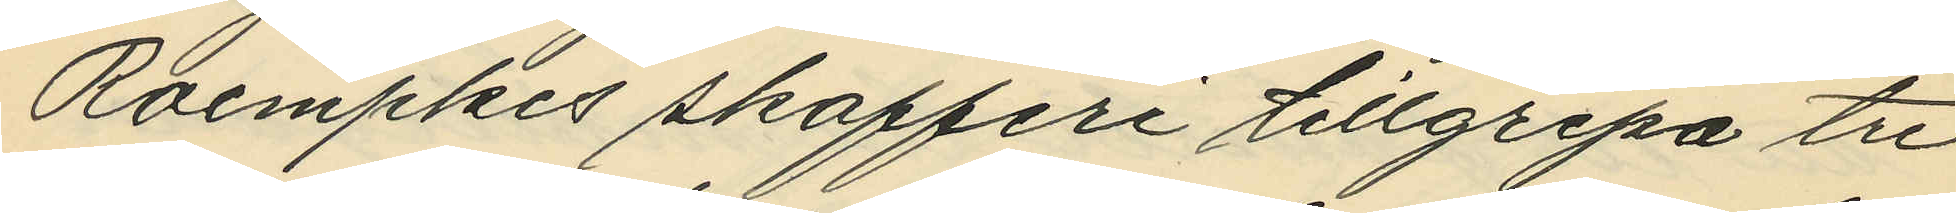Roempkes skafferi tillgripa tre
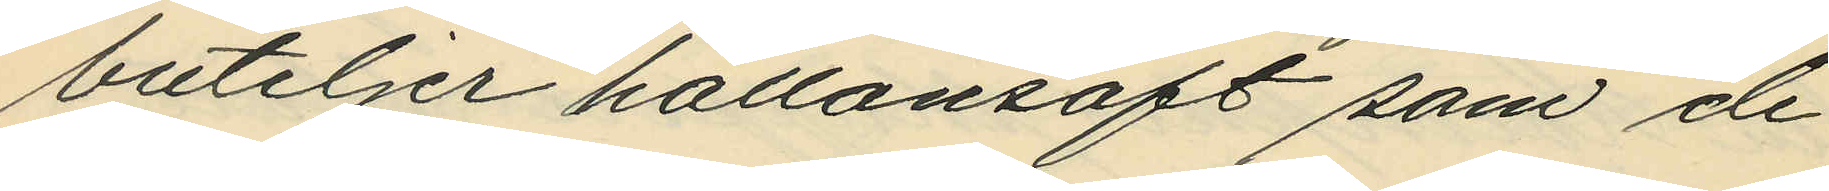buteljer hallonsaft som de
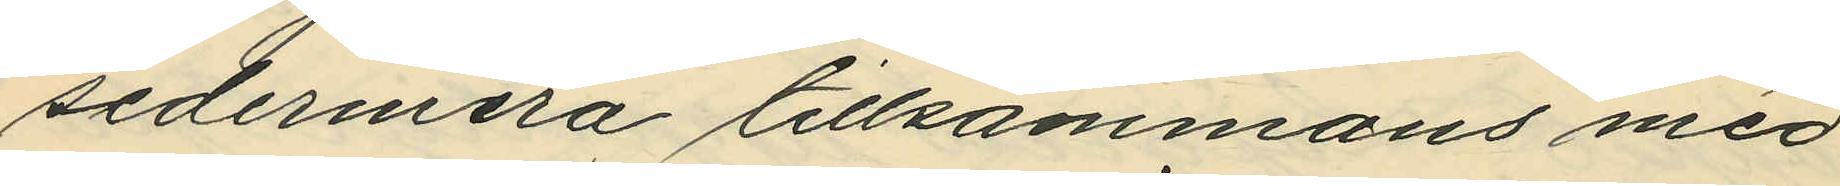sedermera tillsammans med
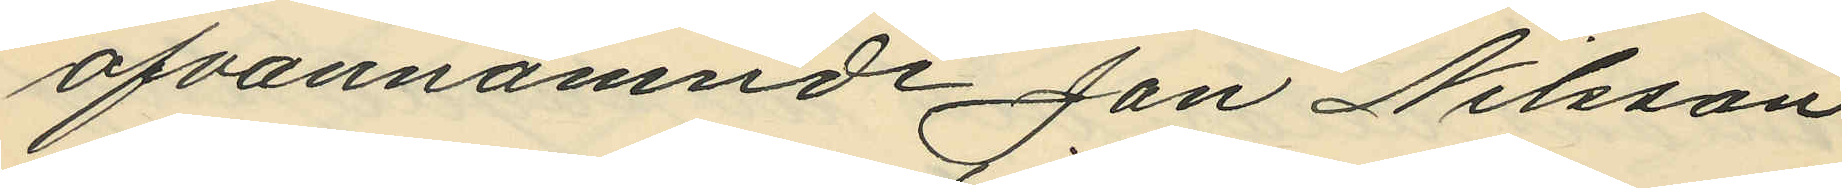ofvannämnde Jan Nilsson
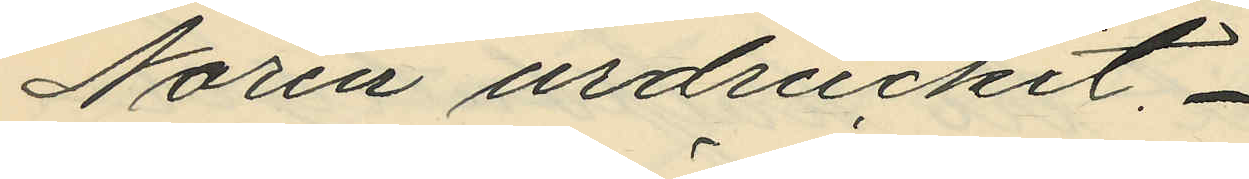Norén urdruckit.
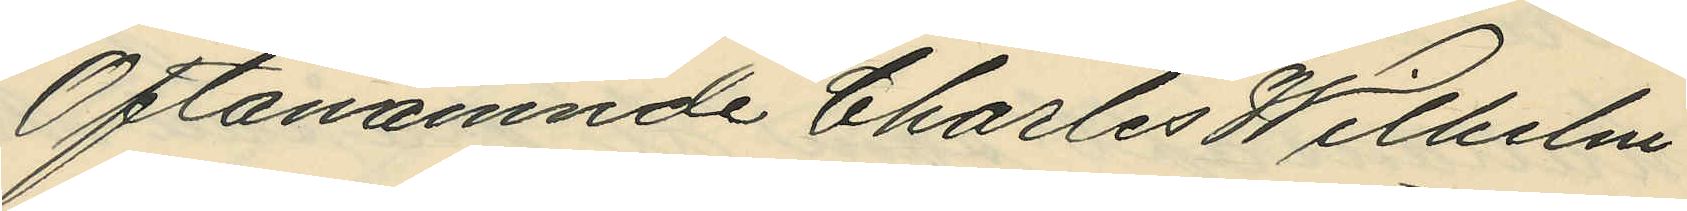Oftanämnde Charles Wilhelm
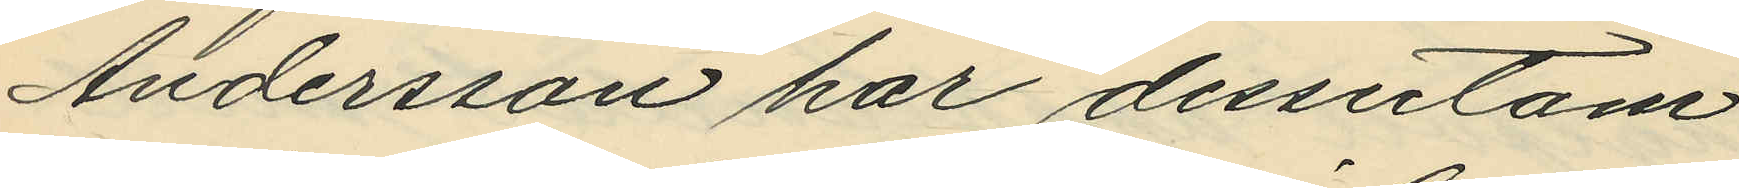Andersson har dessutom
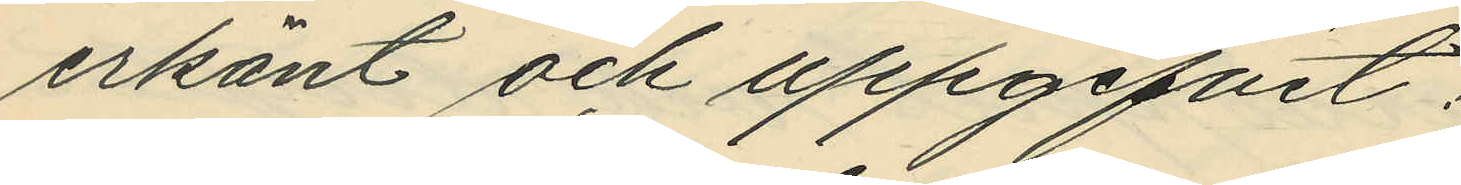erkänt och uppgifvit:
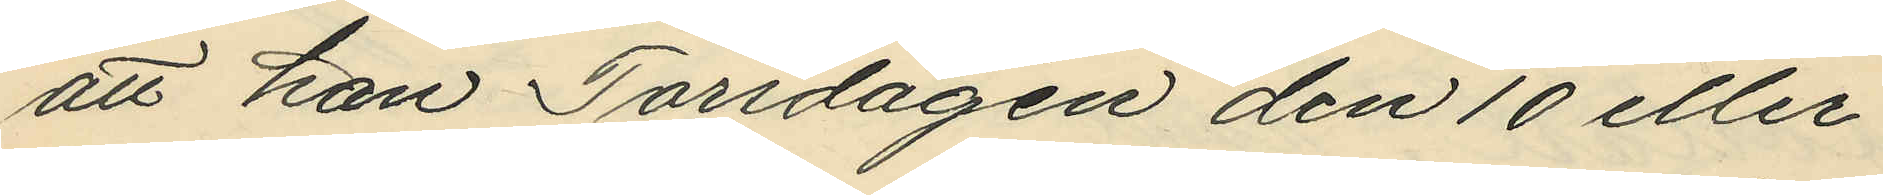att han Torsdagen den 10 eller
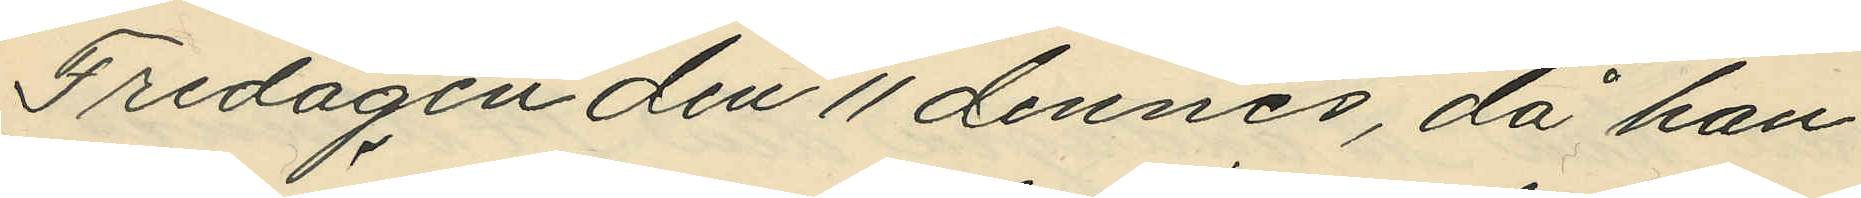Fredagen den 11 dennes, då han
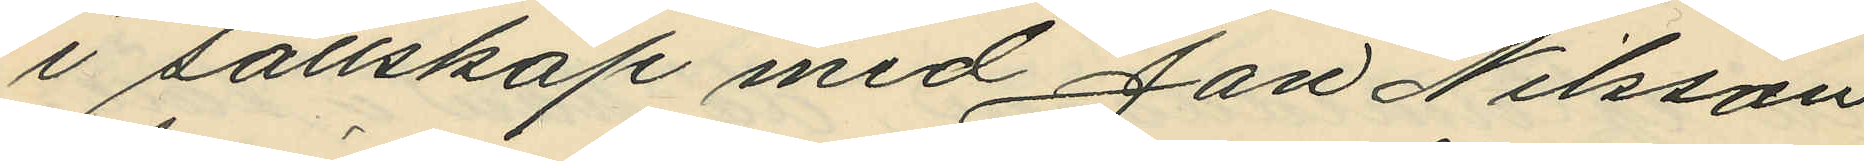i sällskap med Jan Nilsson
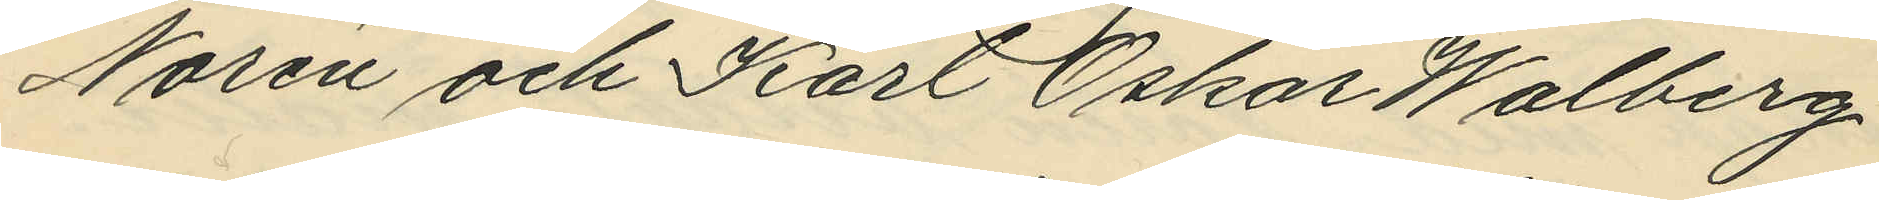Norén och Karl Oskar Walberg
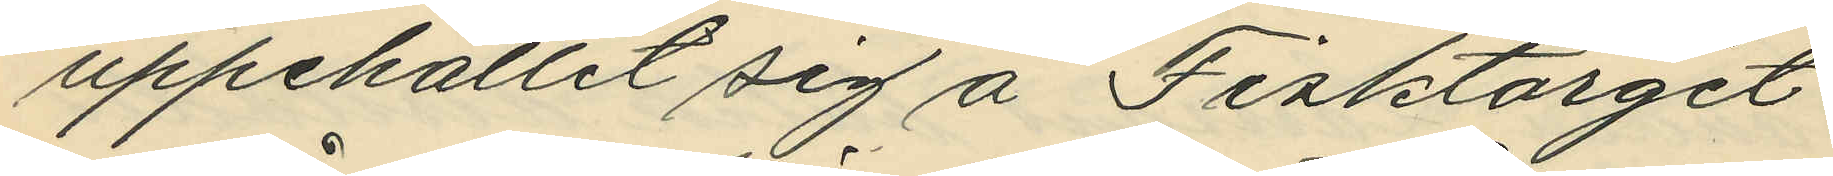uppehållit sig å Fisktorget
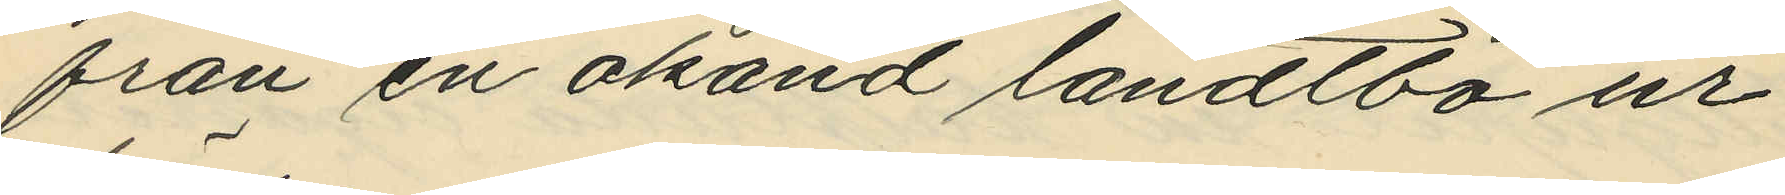från en okänd landtbo ur
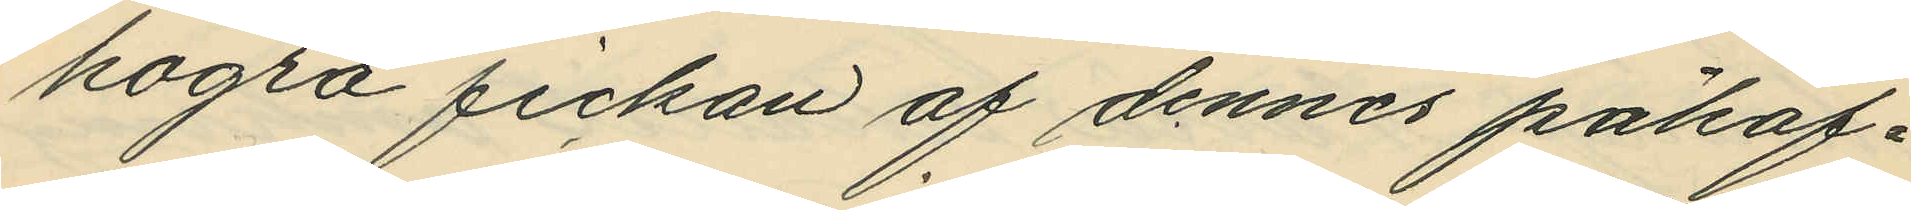högra fickan af dennes påhaf¬
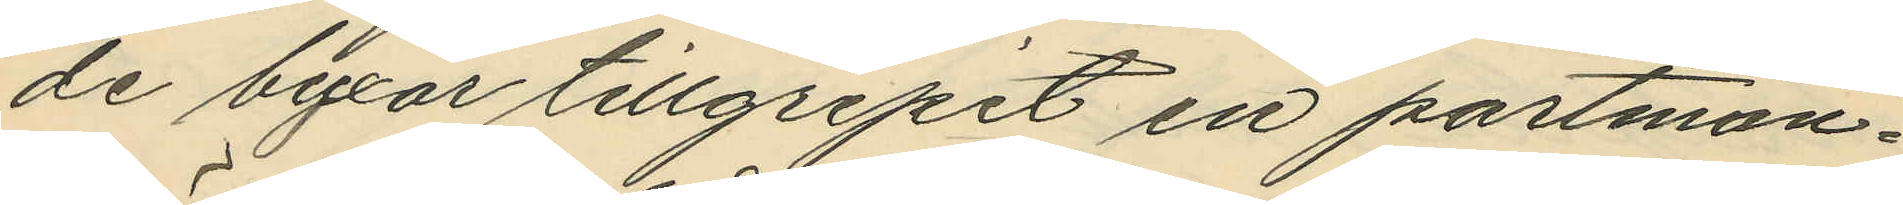de byxor tillgripit en portmon¬
